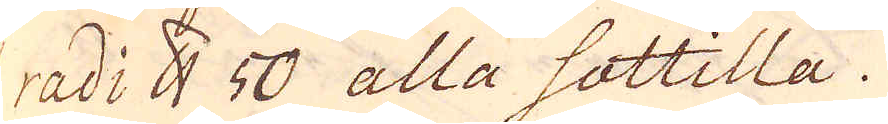radi skålpund 50 alla sottilla.
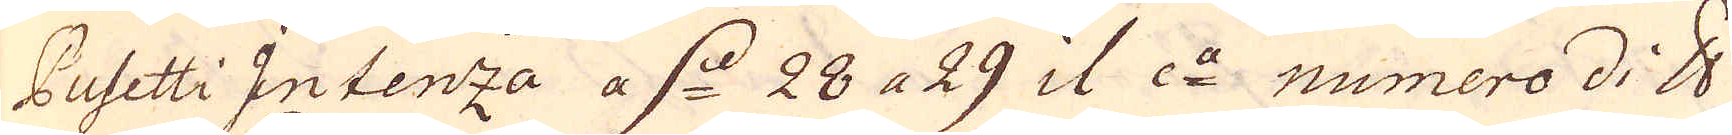Pusetti Intenza a d. 28 a 29 il c:a numero di skålpund
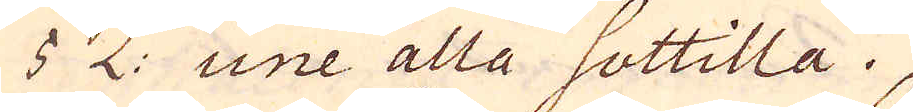5 L: une alla sottitla.
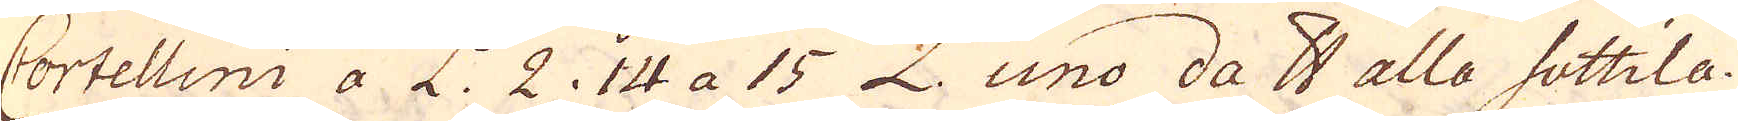Cortellini a L. 2. 14 a 15 L. uno da skålpund alla sottila.
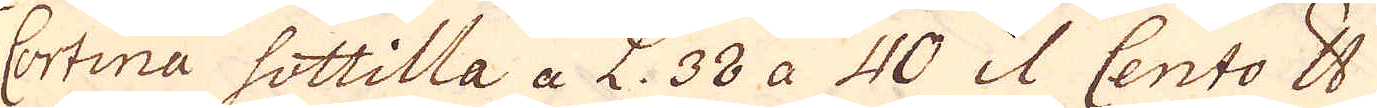Cortina sottilla a L. 38 a 40 il Cento skålpund
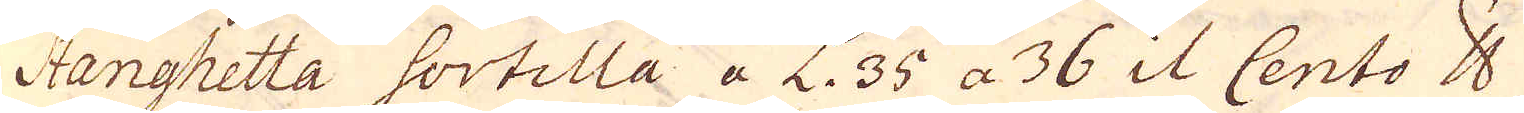Stanghetta sortilla a L. 35 a 36 il Cento skålpund.
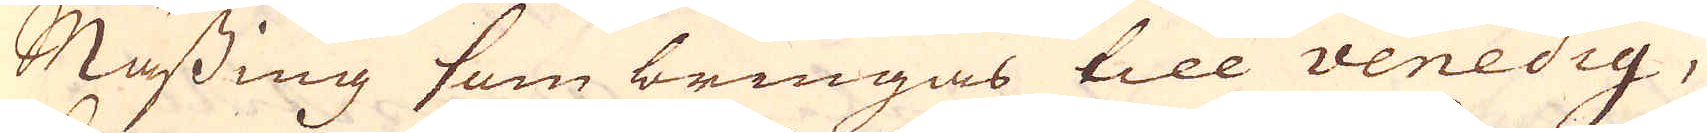Mässing som bringas till Venedig,
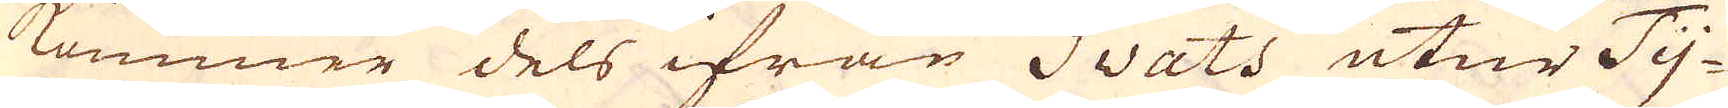kommer dels ifrån Swats utur Ty-
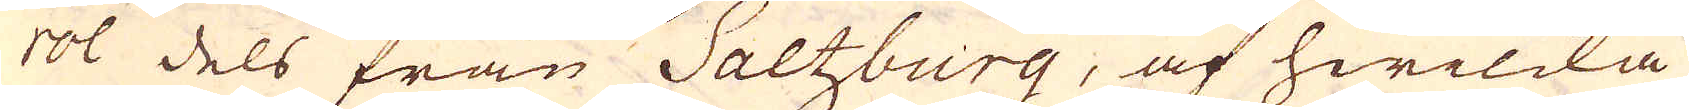rol dels från Saltzburg, af hwilcka
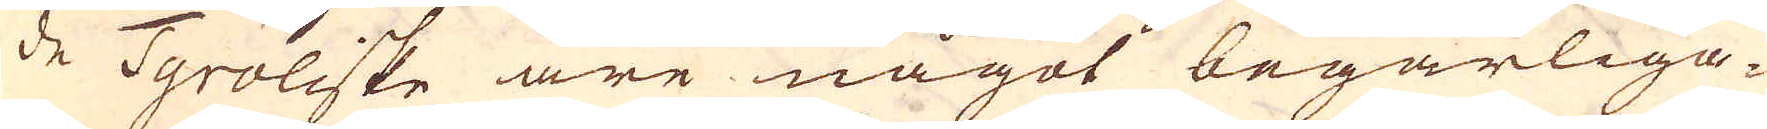de Tyroliske äre något begärliga-
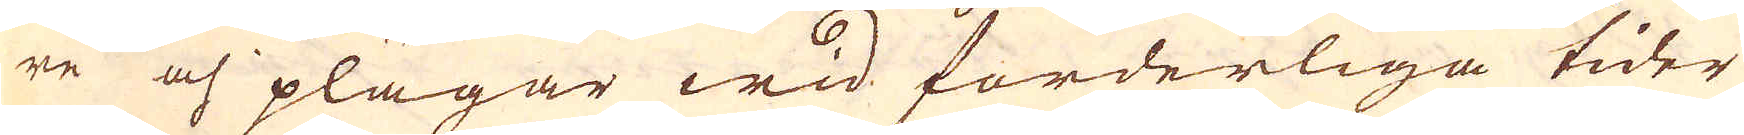re och plägar wid forderliga tider
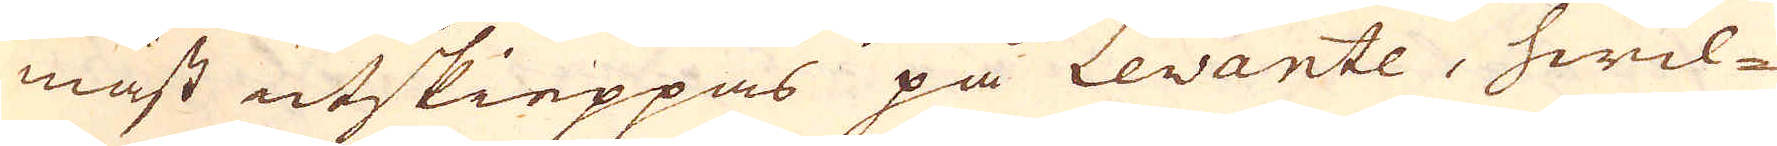måst utskieppas på Levante, hwil-
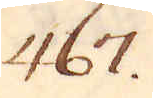467.
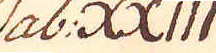Tab: XXIII
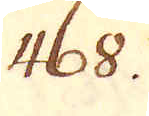468.
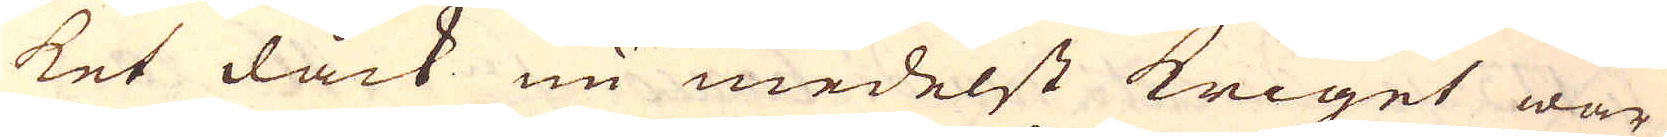ket dåck nu medelst kriget war
